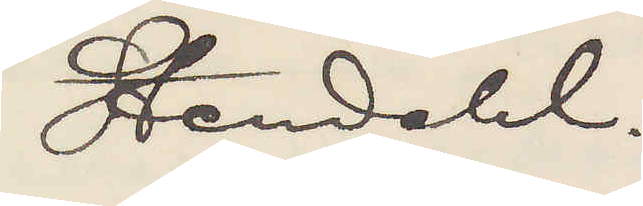Stendahl.
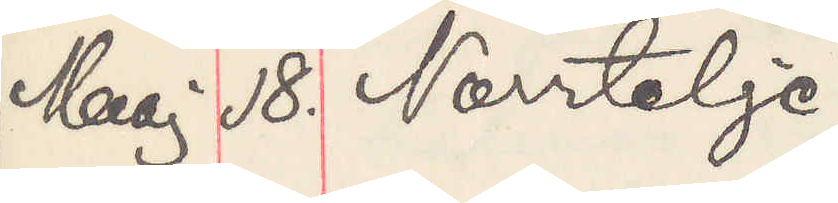Maj 18. Norrtelje.
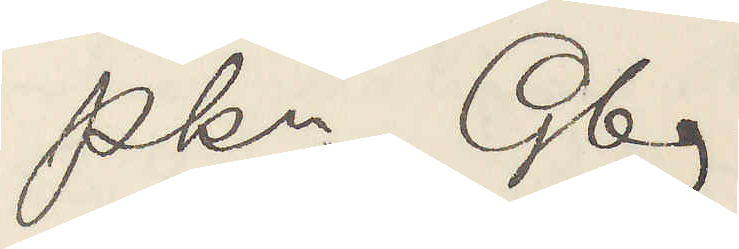Pkn Gbg.
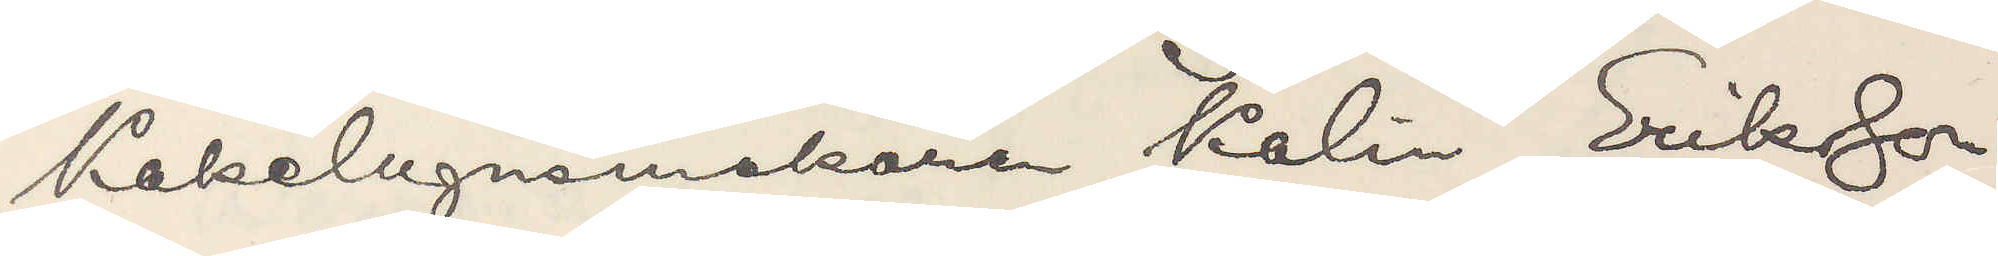Kakelugnsmakaren Kalin Eriksson
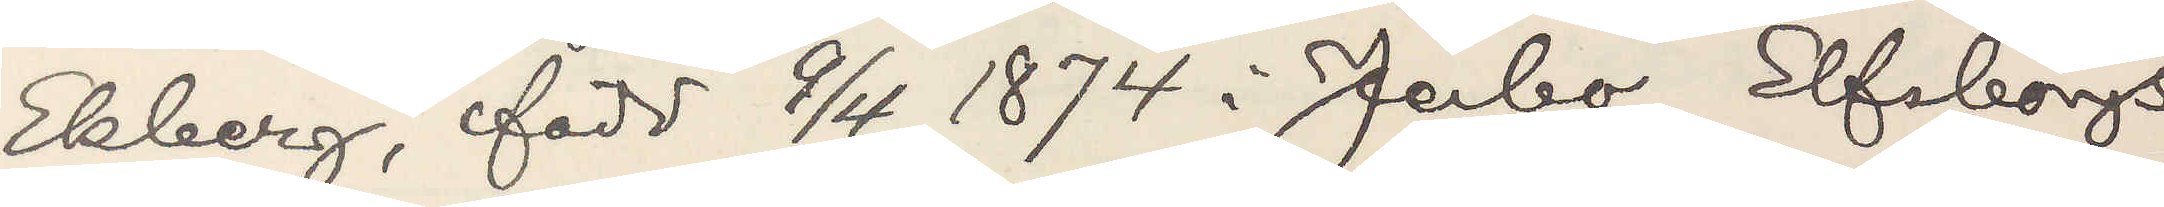Ekberg, född 9/4 1874 i Jerbo, Elfsborgs
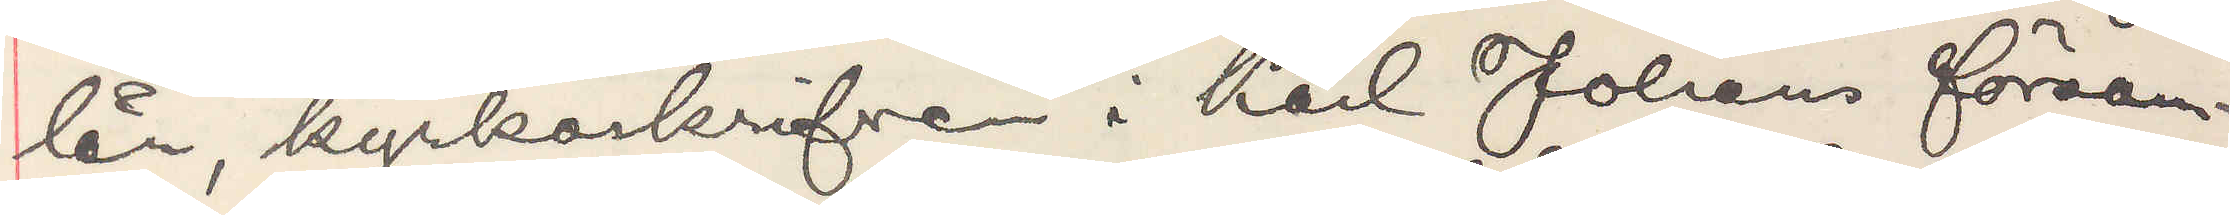län, kyrkoskrifven i Karl Johans försam¬
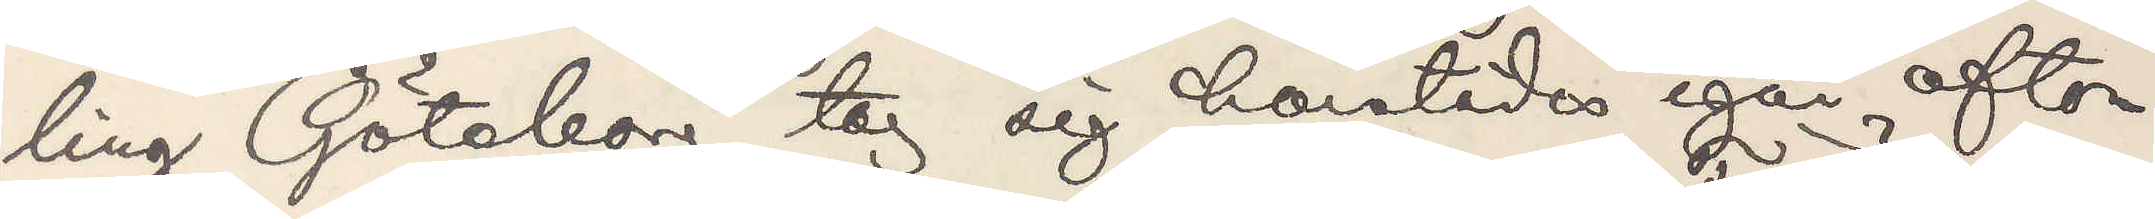ling Göteborg tog sig härstädes igår afton
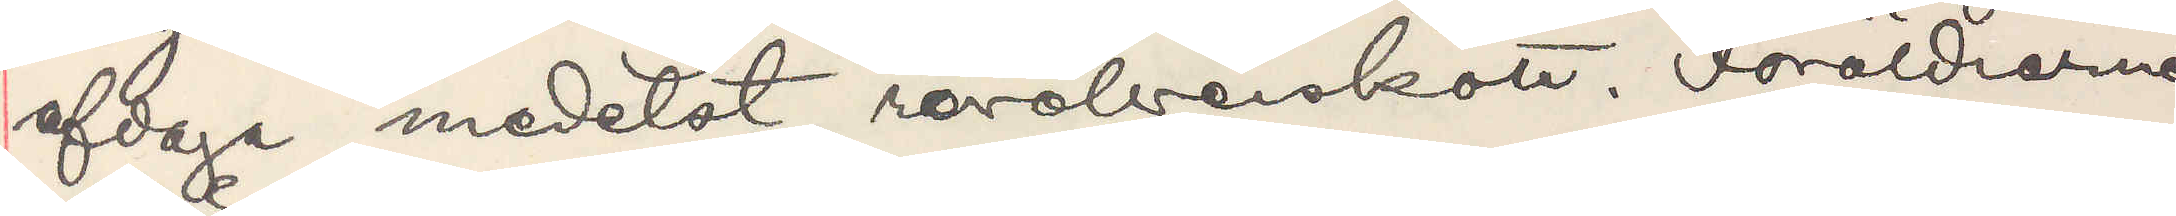af daga medelst revolverskott. Föräldrarne
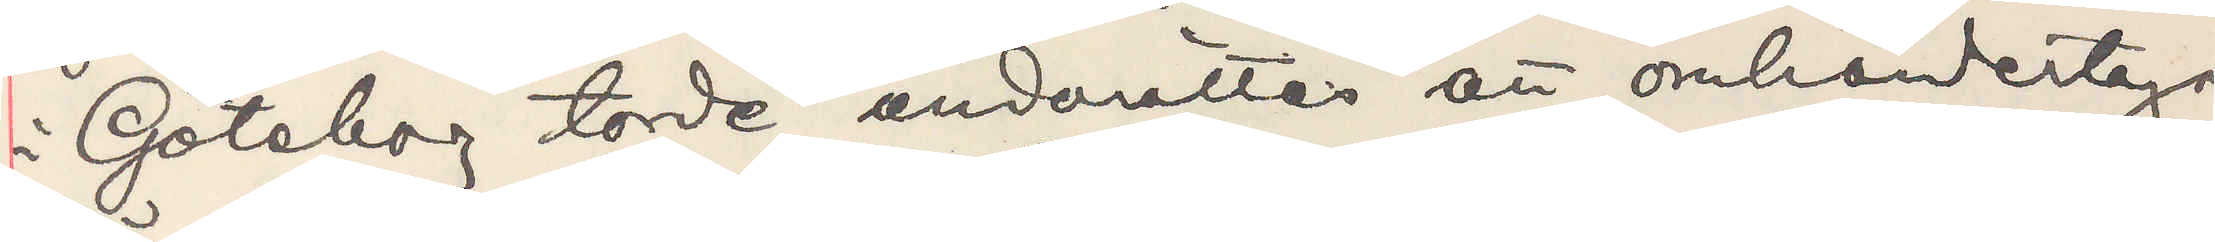i Göteborg torde underrättas att omhändertaga
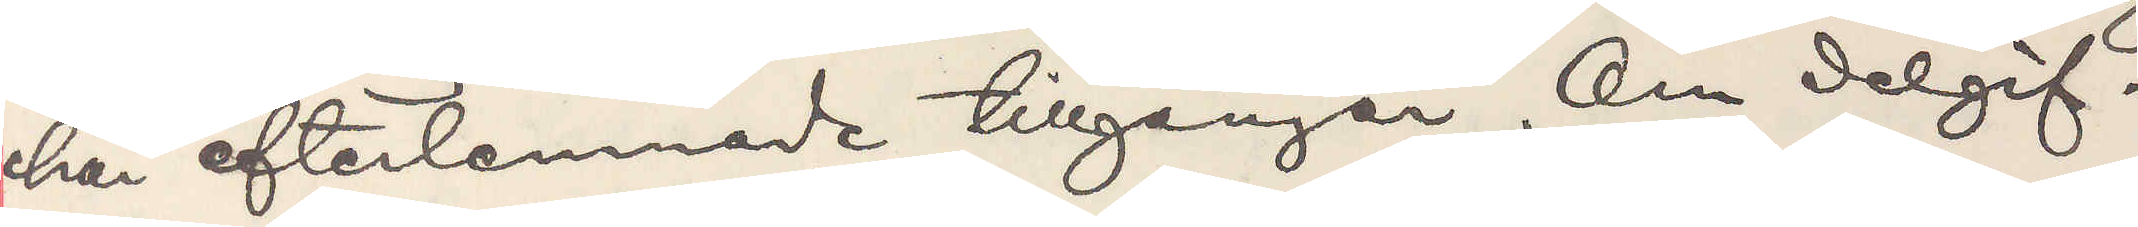här efterlemnade tillgångar. Om delgif¬
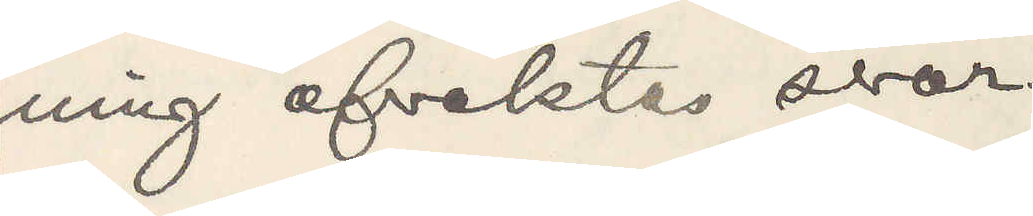ning afvaktas svar.
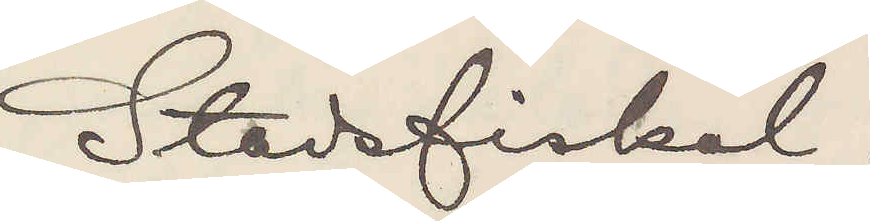Stadsfiskal.
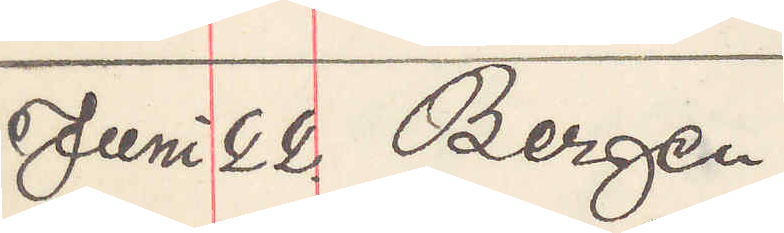Juni 22. Bergen
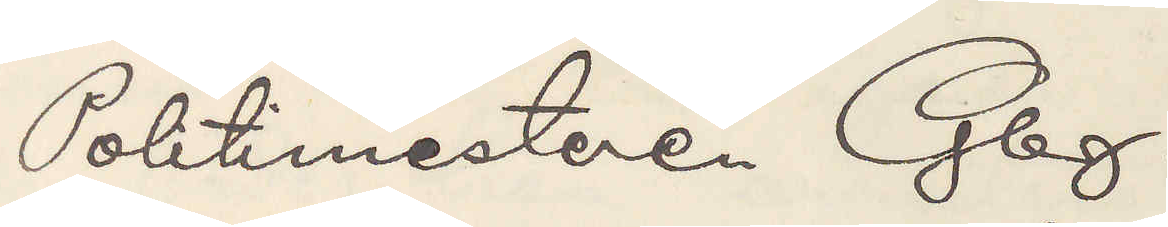Politimesteren Gbg.
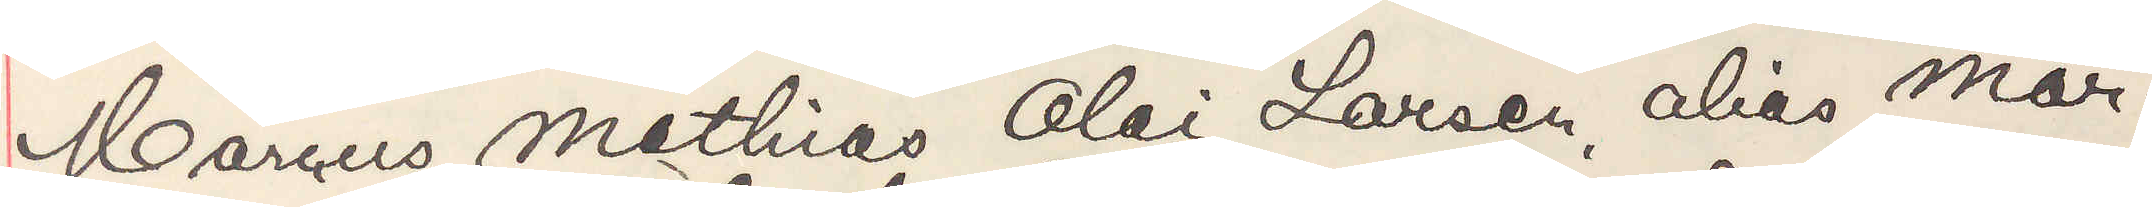Marcus Mathias Olai Larsen, alias Mar¬
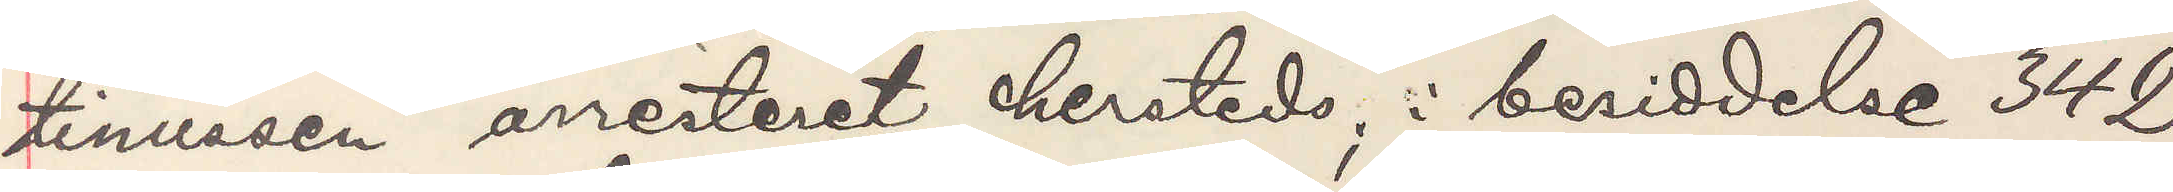tinussen arresteret herstedes; i beriddelse 342
